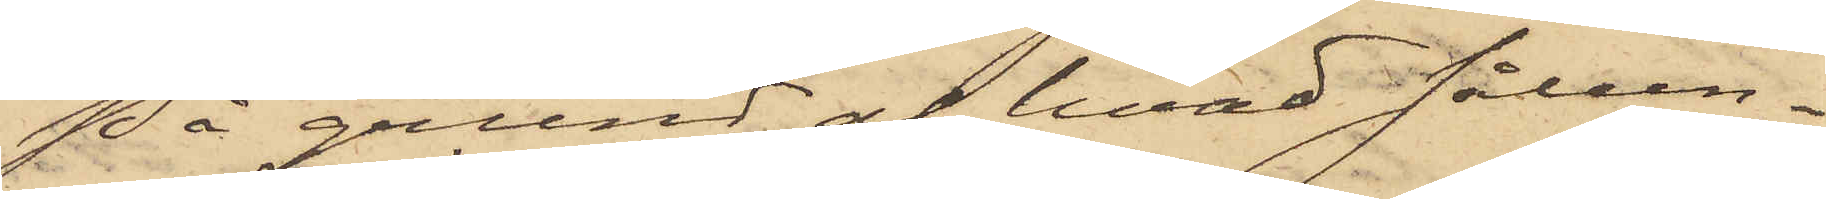På grund at hvad sålun¬
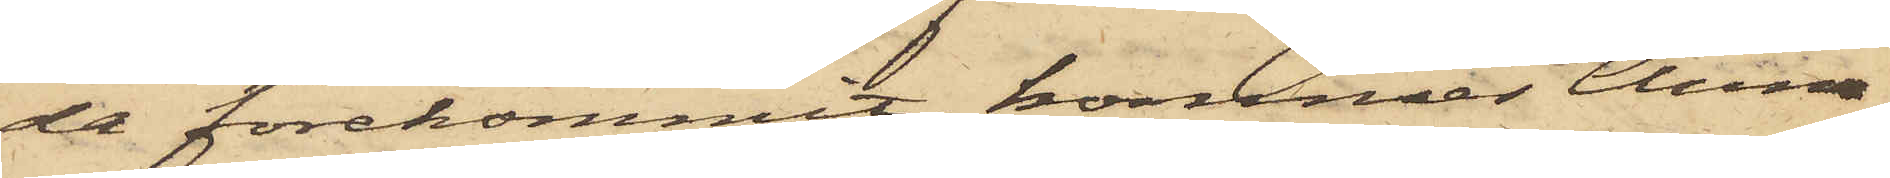da förekommit, kommer Anna
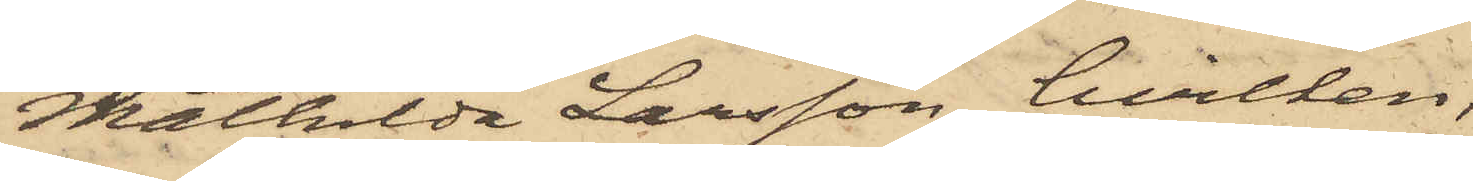Mathilda Larsson, hvilken,
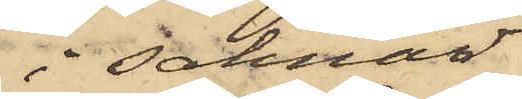i saknad
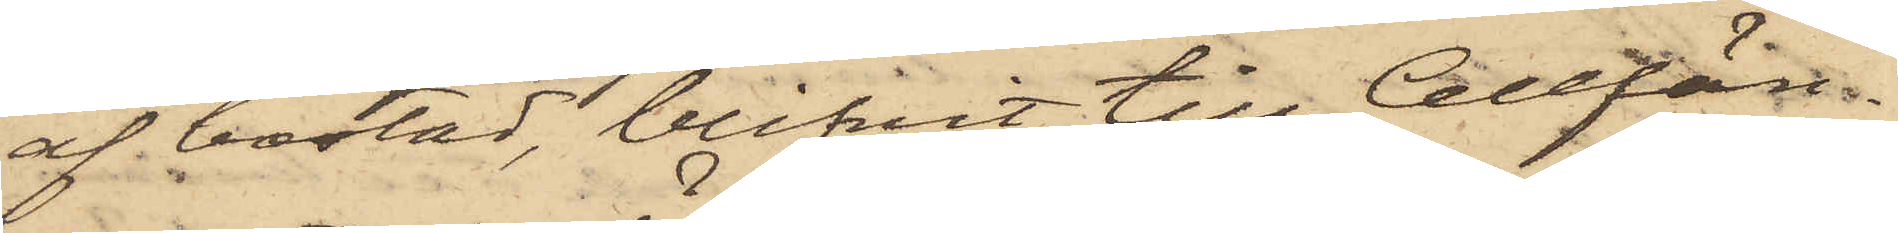af bostad, blifvit till Cellfän¬
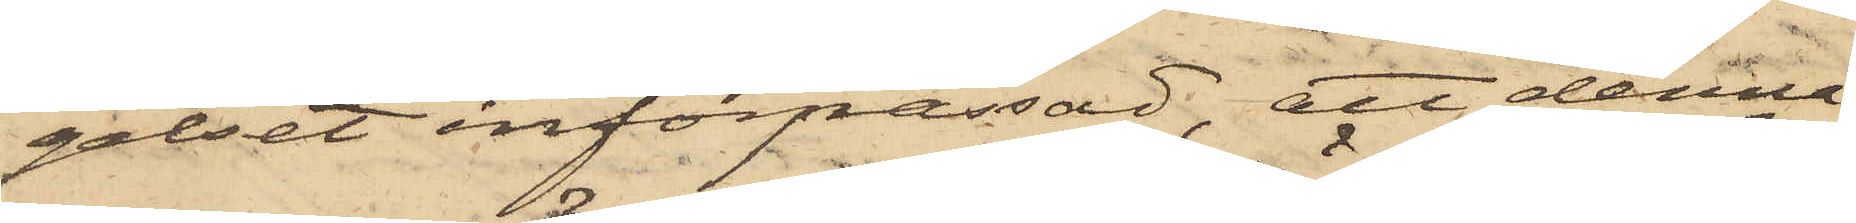gelset införpassad, att denna
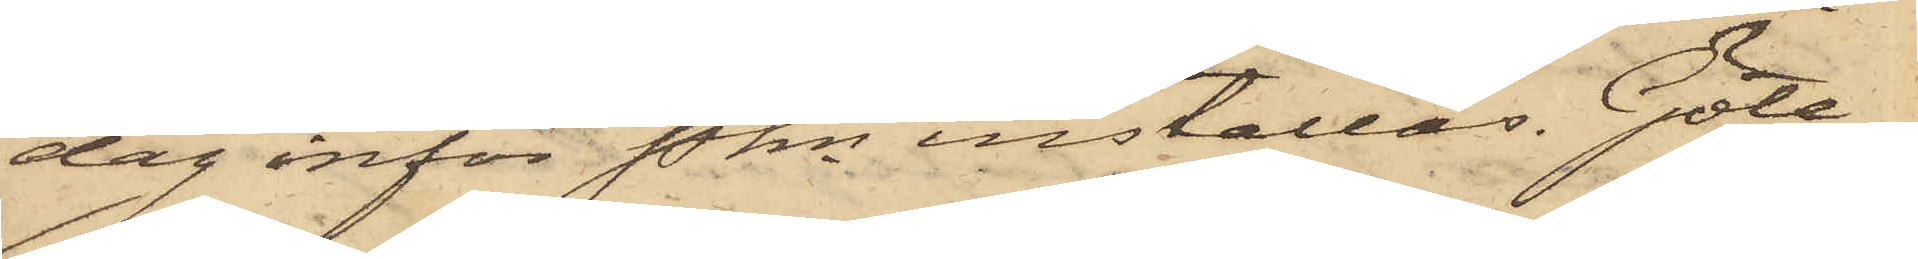dag inför Pkn inställas. Göte¬
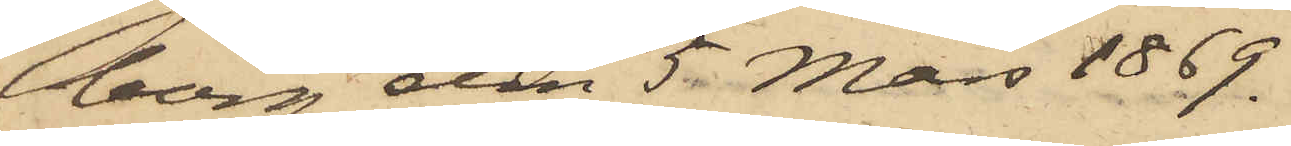borg den 5 Mars 1869.
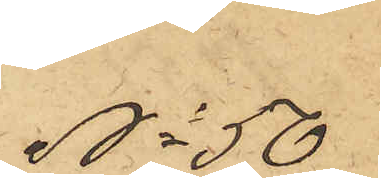No 50
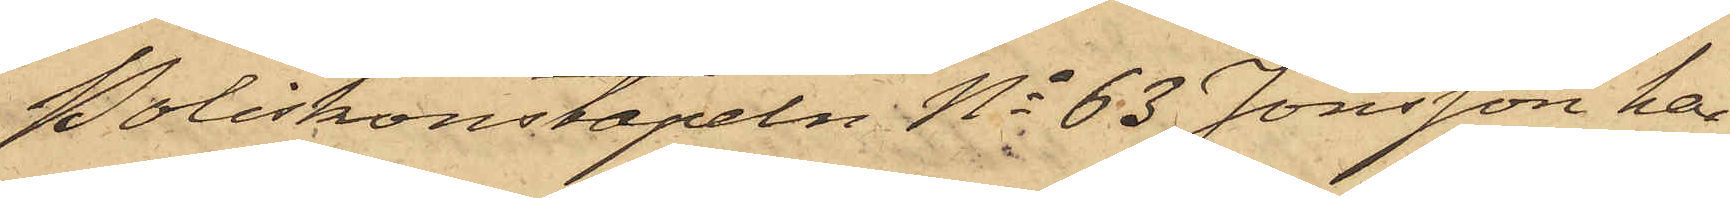Poliskonstapeln No 63 Jonsson har
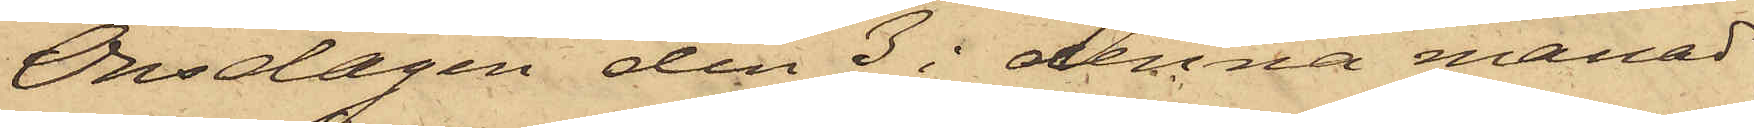Onsdagen den 3 i denna månad
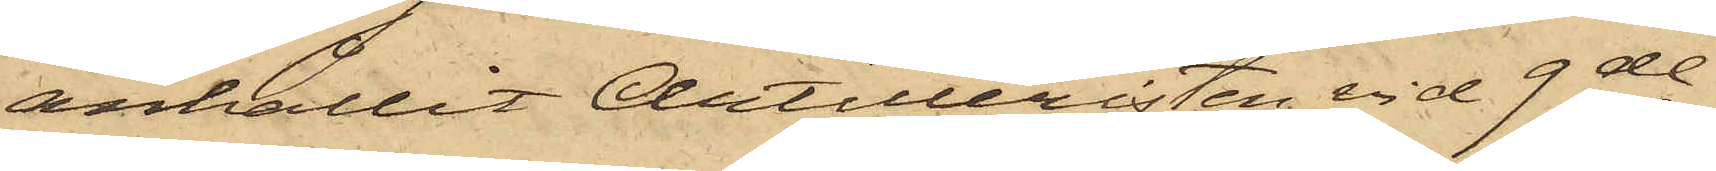anhållit Artilleristen vid 9de
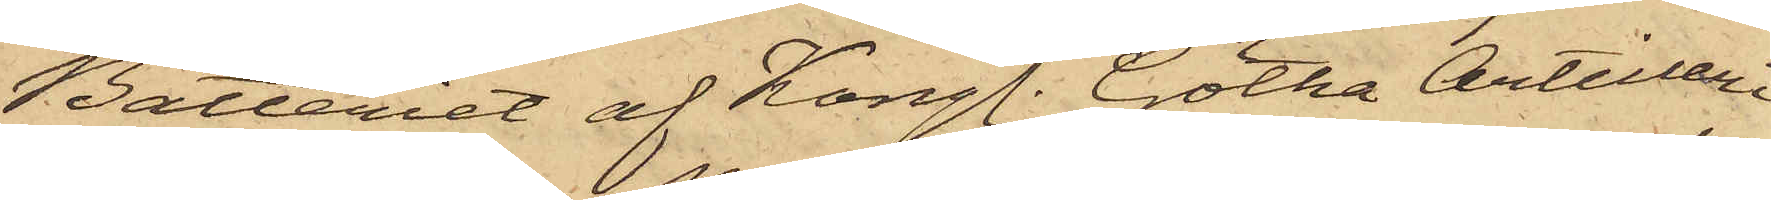Batteriet af Kongl. Götha Artilleri
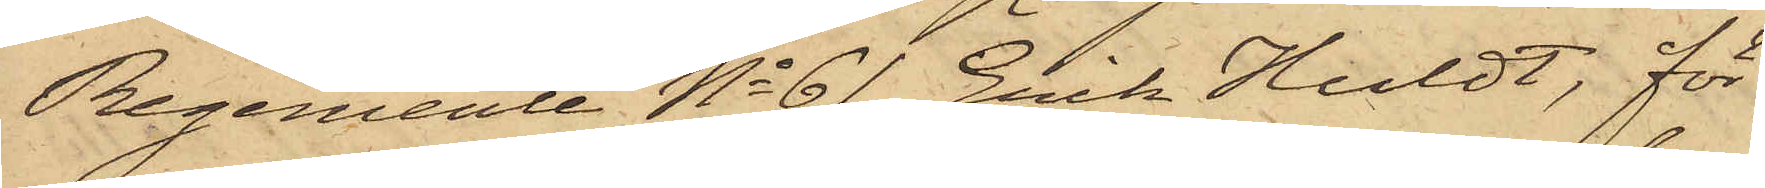Regemente No 61 Erik Huldt, för
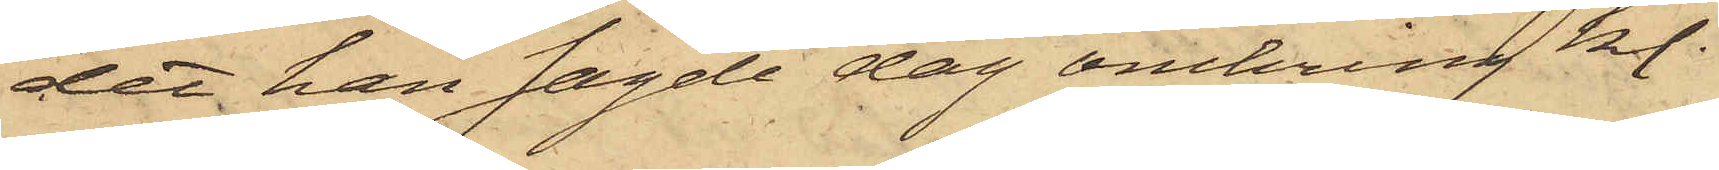det han sagde dag omkring kl.
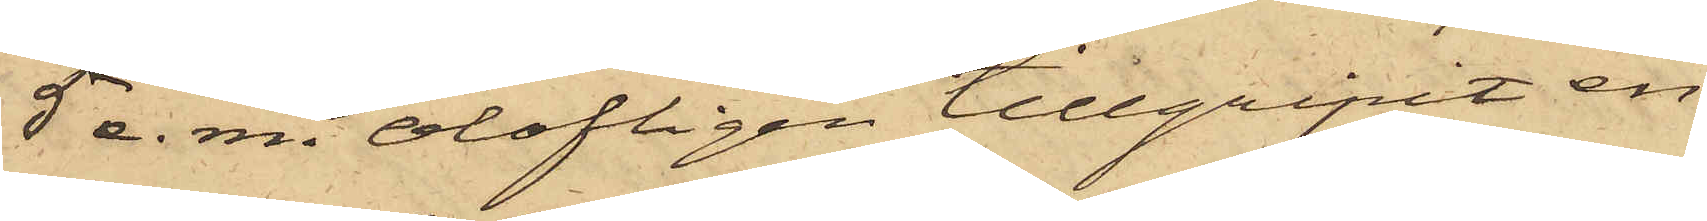5 e. m. olofligen tillgripit en
